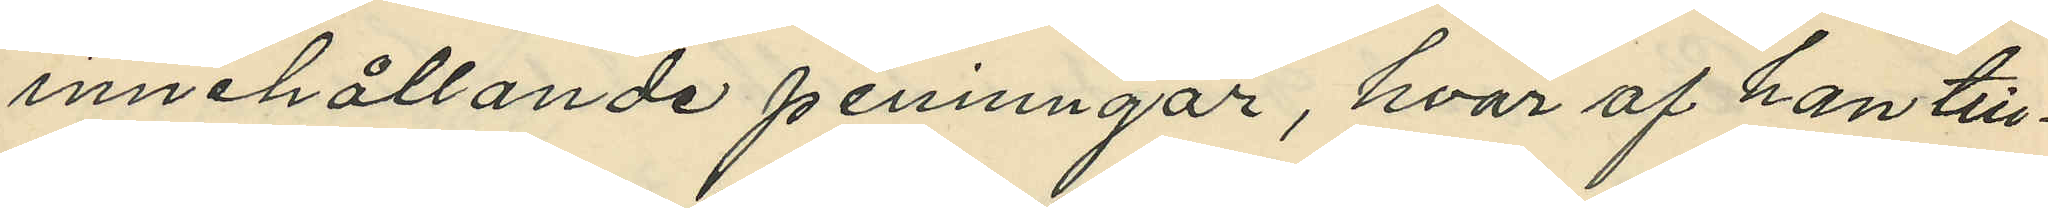innehållande peninngar, hvar af han till¬
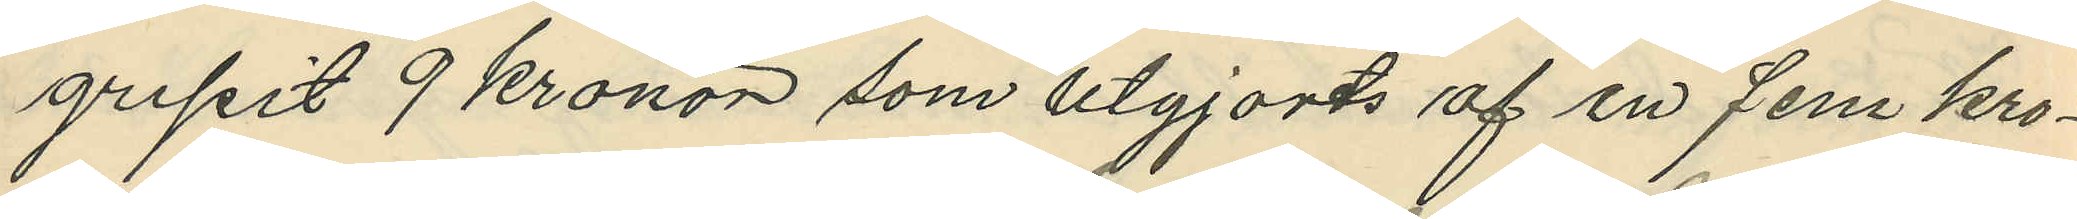gripit 9 kronor som utgjorts af en fem kro¬
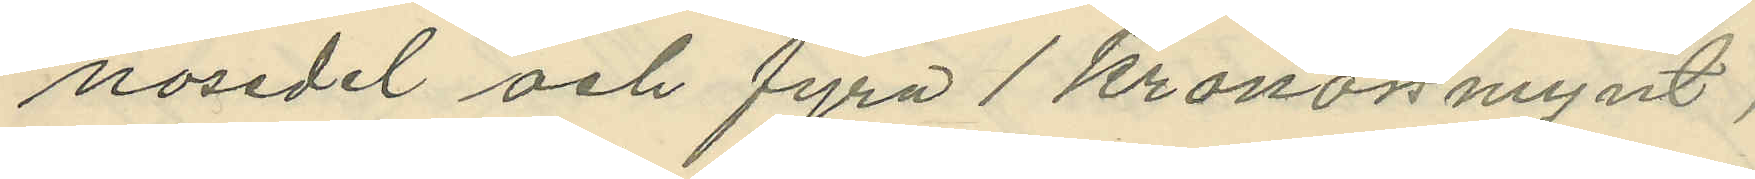nosedel och fyra 1 kronorsmynt;
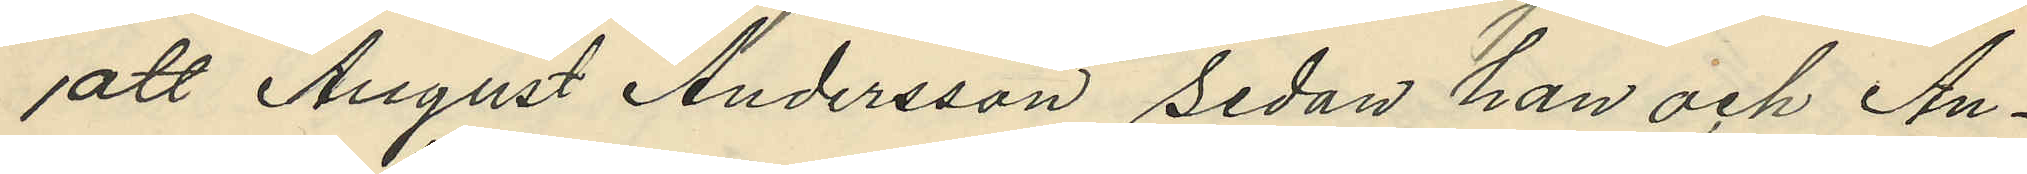att August Andersson sedan han och An¬
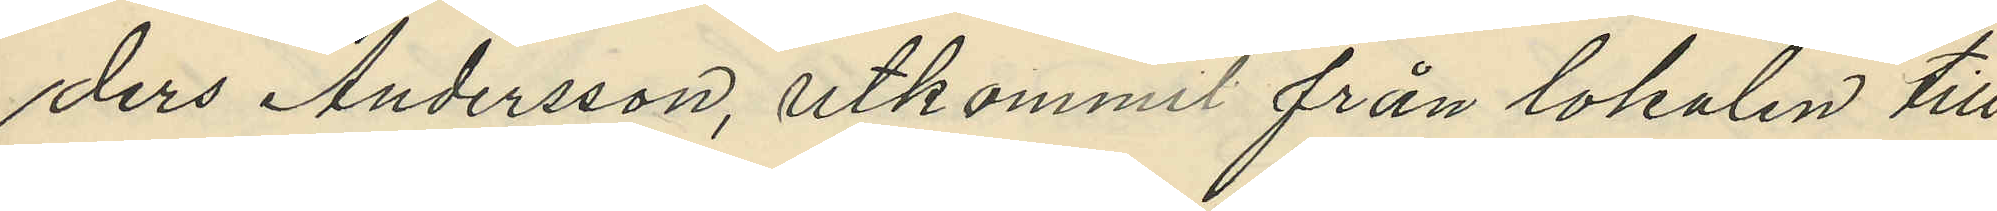ders Andersson, utkommit från lokalen till
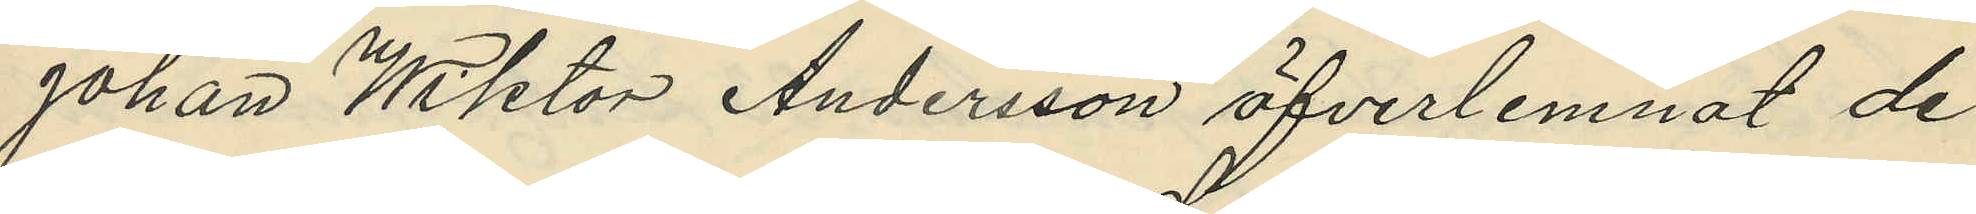Johan Wiktor Andersson öfverlemnat de
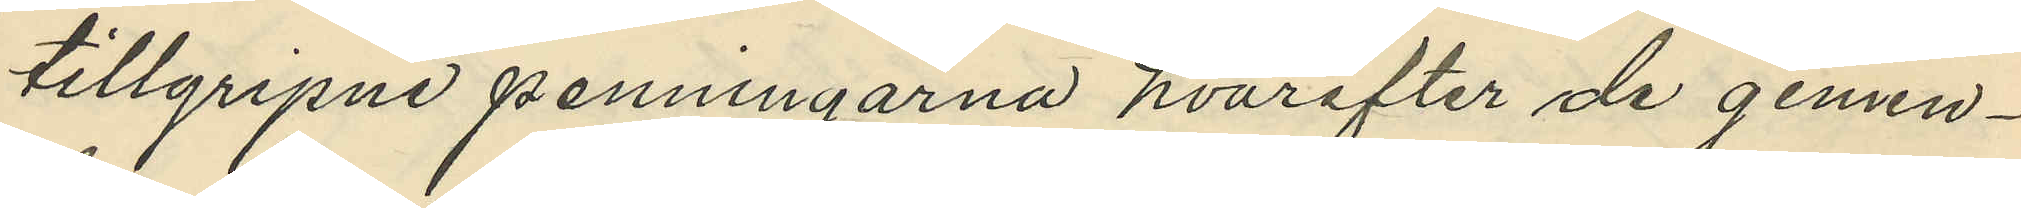tillgripne penningarna hvarefter de gemen¬
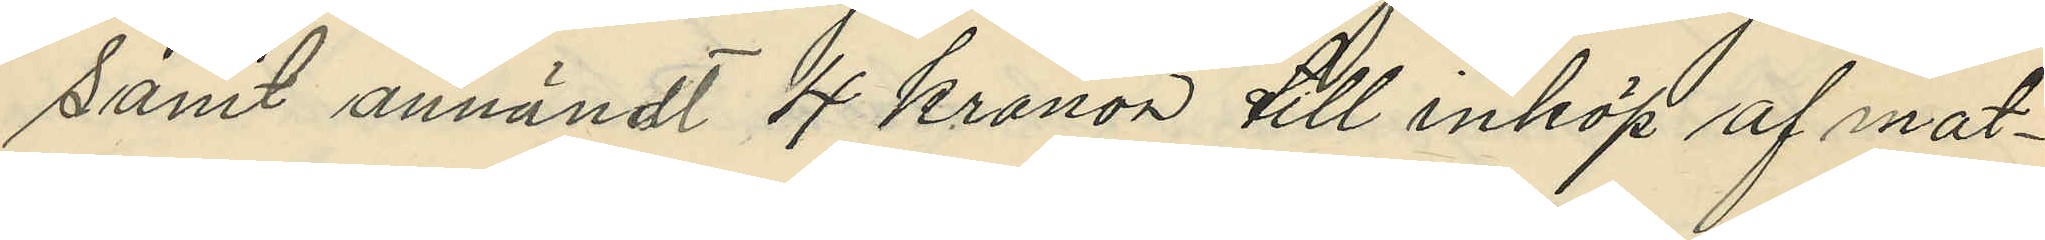samt användt 4 kronor till inköp af mat¬
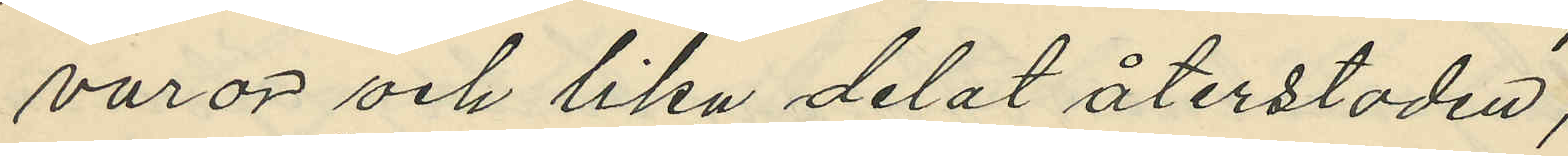varor och lika delat återstoden;
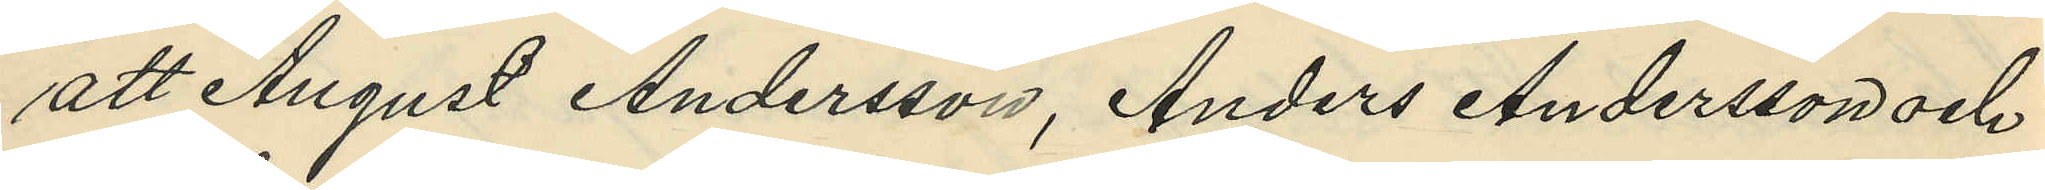att August Andersson, Anders Andersson och
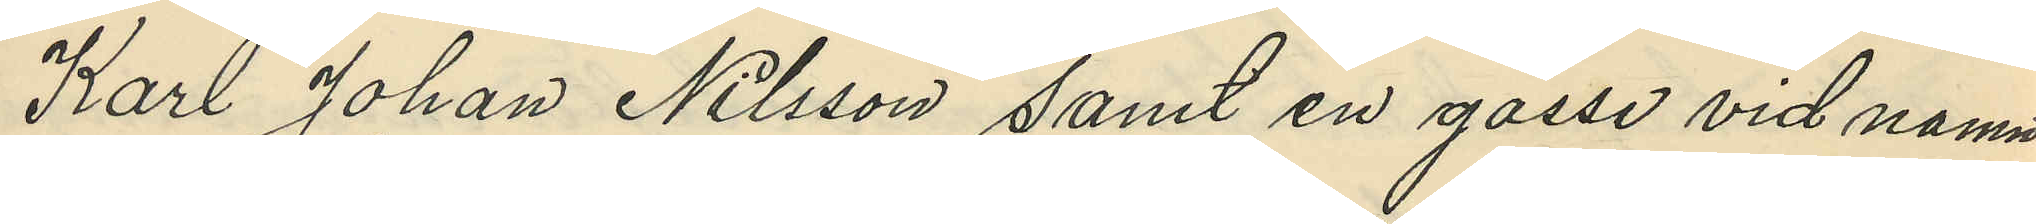Karl Johan Nilsson samt en gosse vid namn
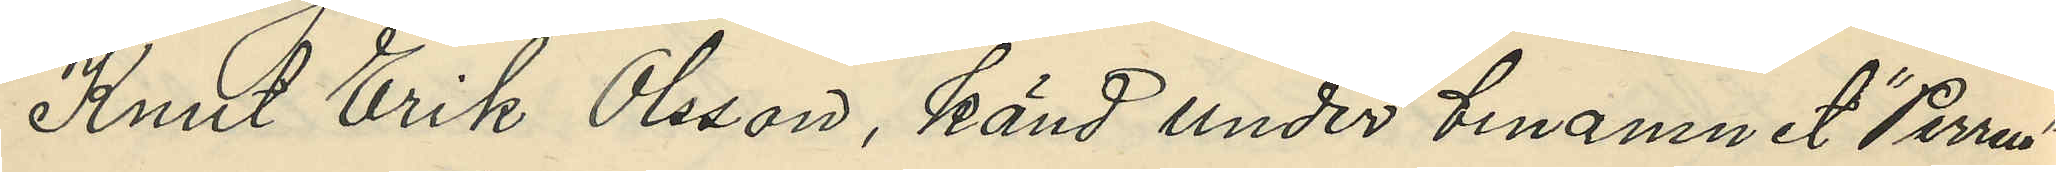Knut Erik Olsson, känd under binamnet "Perra"
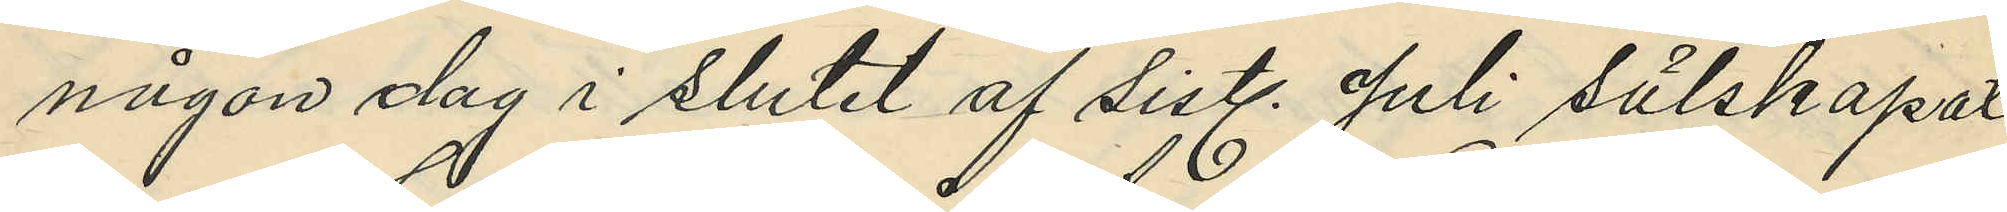någon dag i slutet af sistl. Juli sälskapat
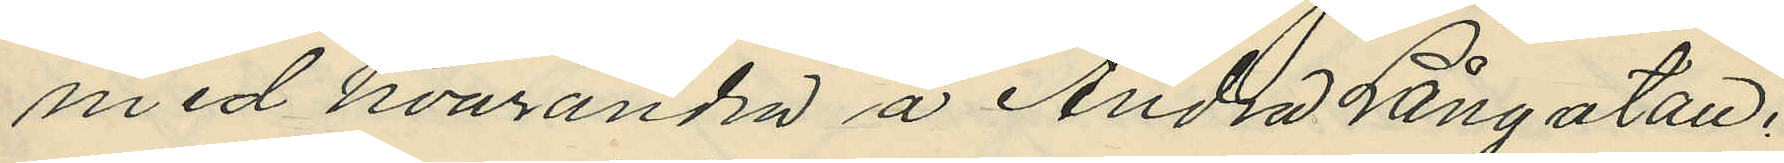med hvarandra å Andra Långatan;
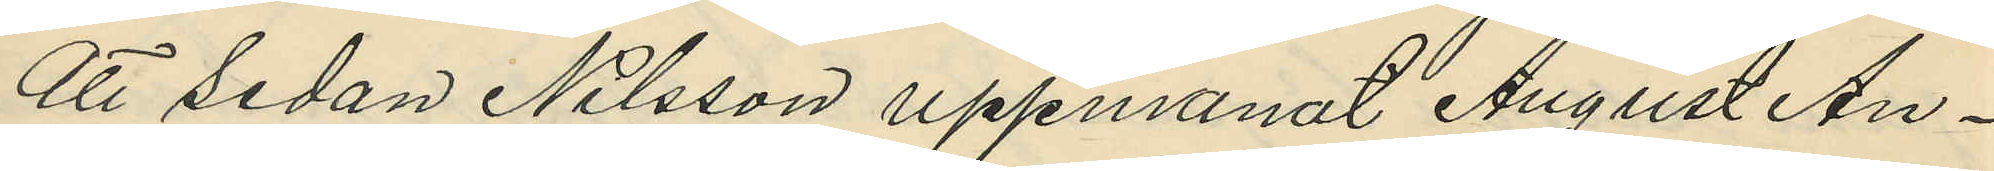att sedan Nilsson uppmanat August An¬
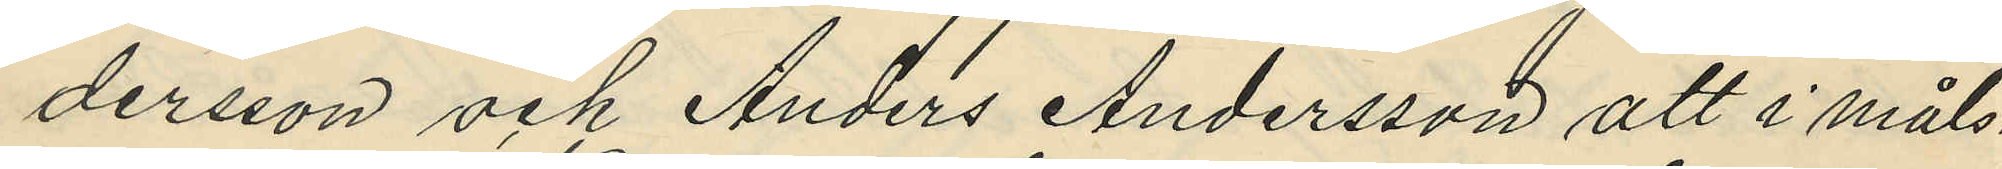dersson och Anders Andersson att i måls¬
